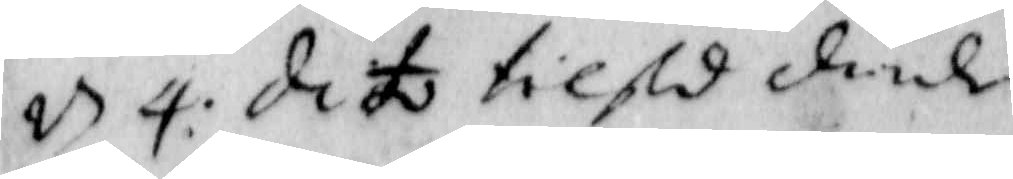d 4 dito tilstod dömde
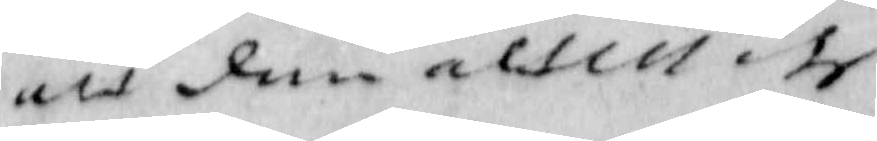alt dem alt... dhe
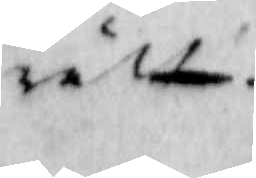rätt.
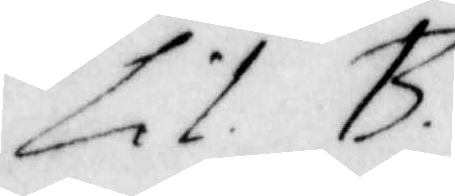Lit B
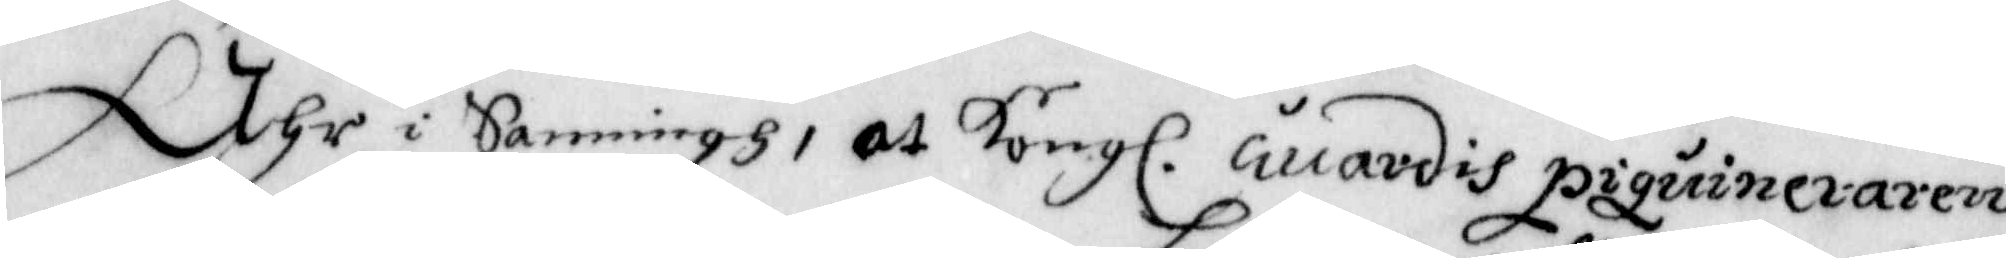Ähr i Sanningh, at Kongl. Guardis piquineraren
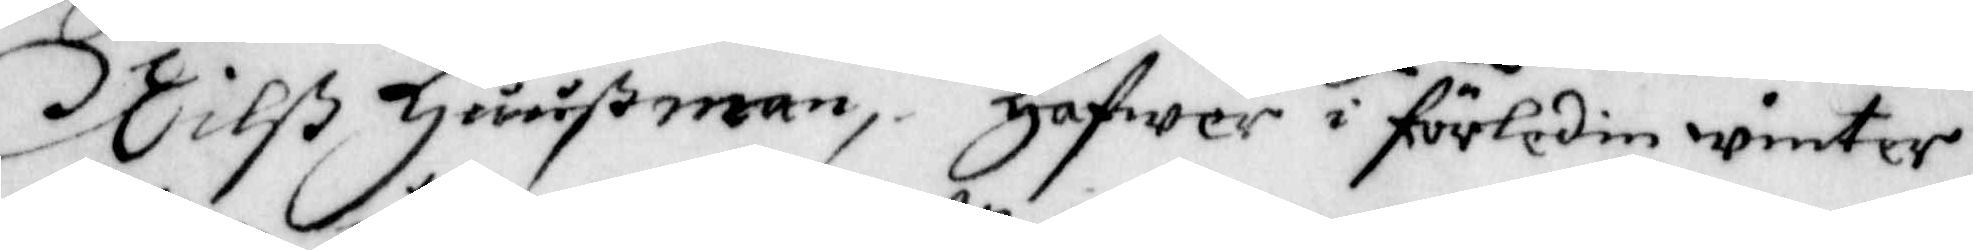Nilß Ljuußman, Hafwer i förledin winter,
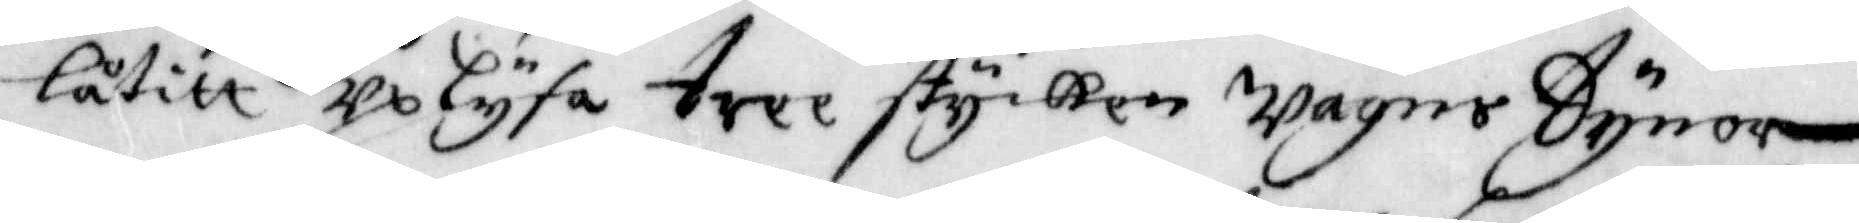låtitt Uplysa tree stycken Wagns Dynor,
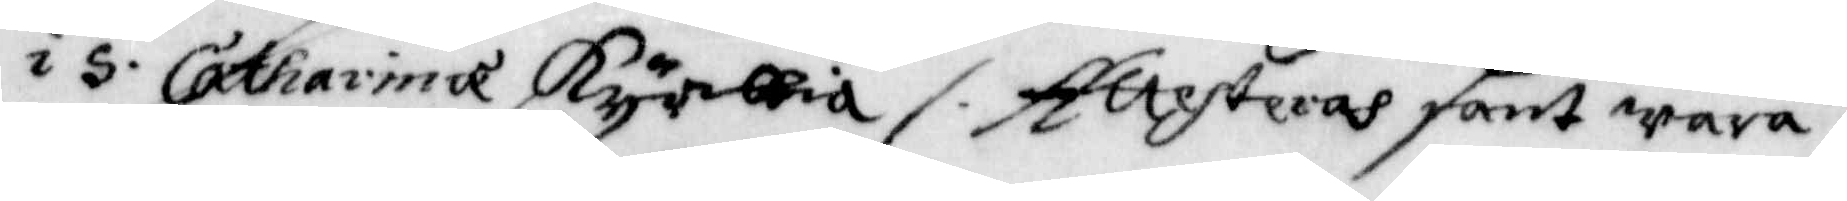i s. Catharina Kyrkia /. Attesteras sant Wara,
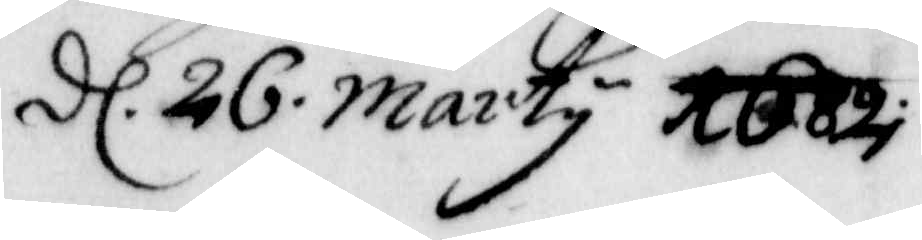dl. 26 Marty 1682.
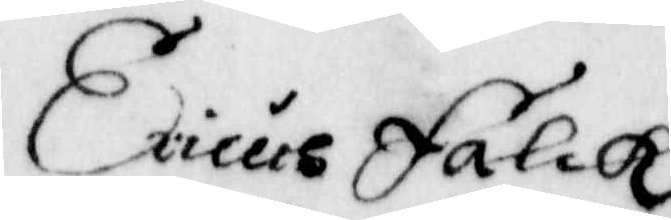ericus Falck
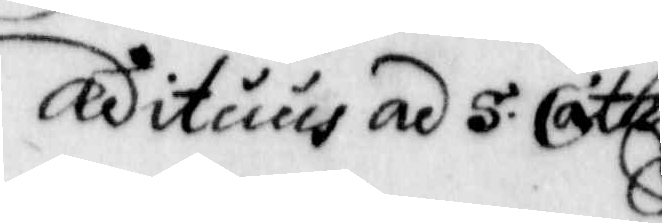adituus ad S. Cath:
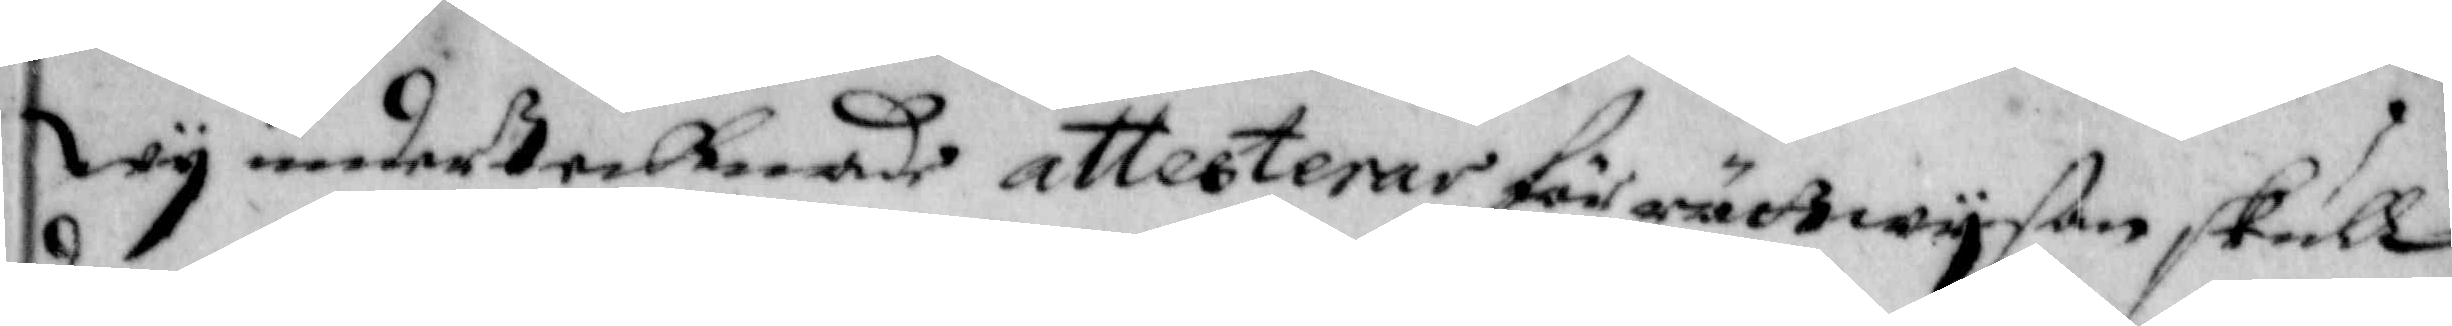Wij undertecknade attesterar för rättwijsan skull
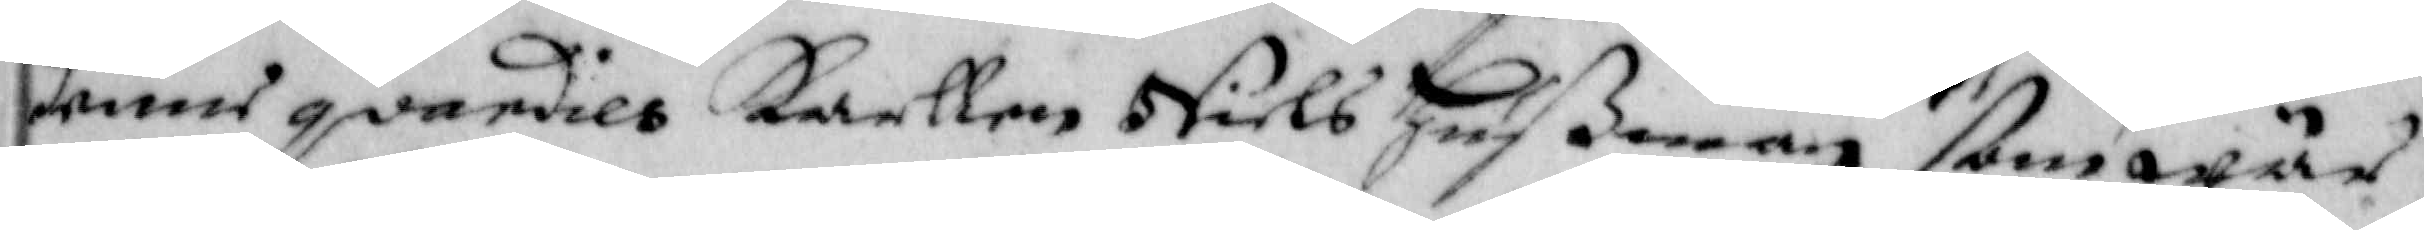denne gvardies Karllen Niels Hußman som wår
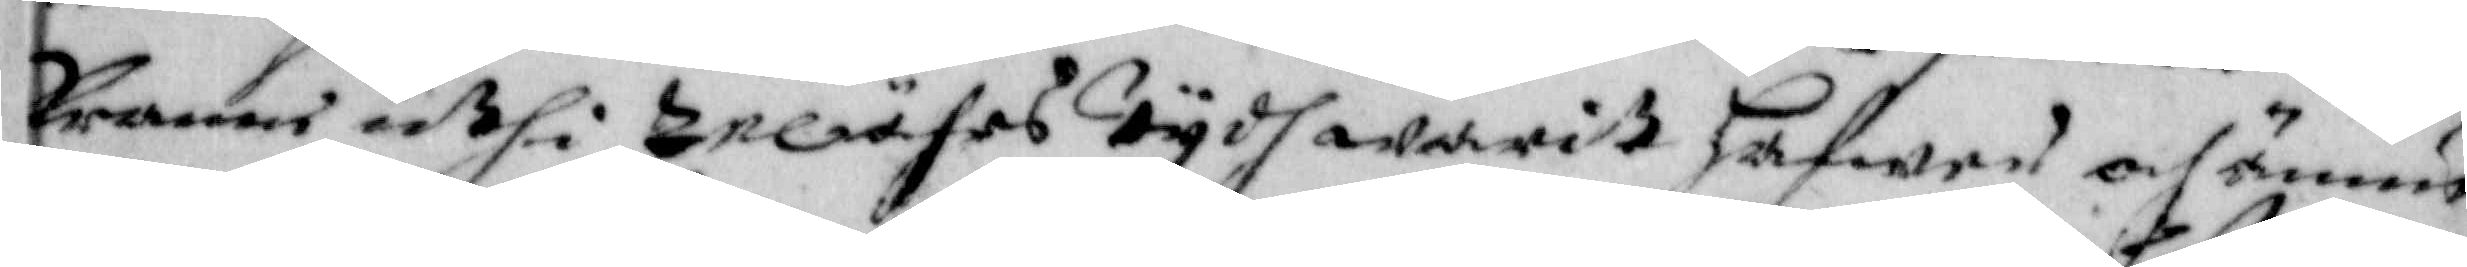kranne uthi tre åhrs tidh warit hafwer och ännu
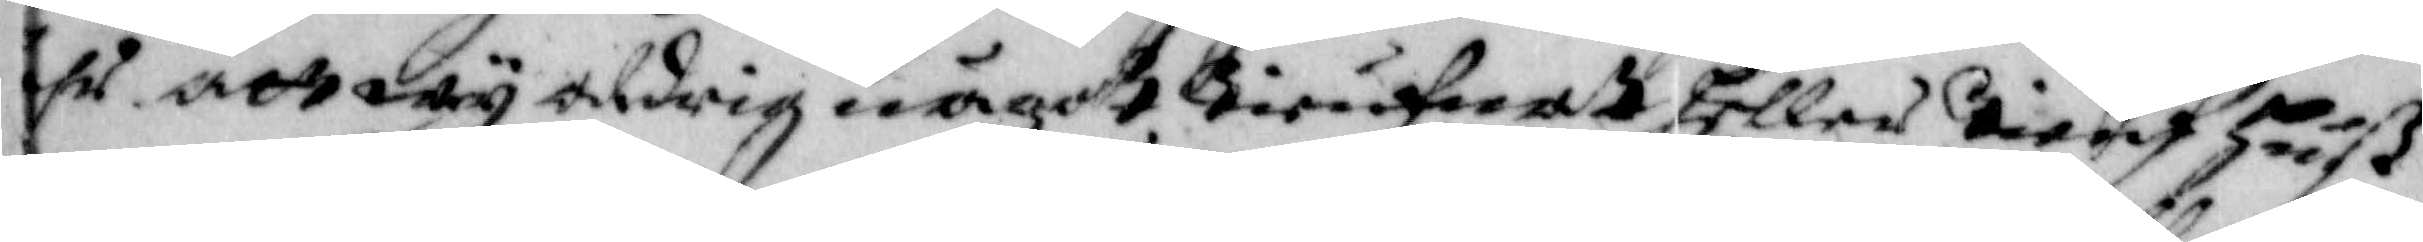hr och wij aldrig något tieufnadt heller tieuf huß
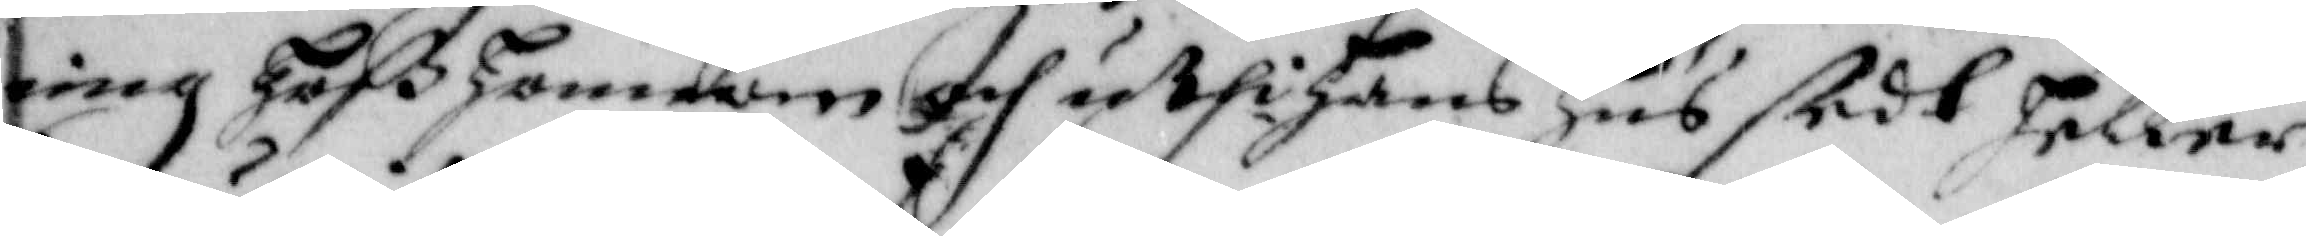ing hoß honom och uthi hans Hus skedt heller
